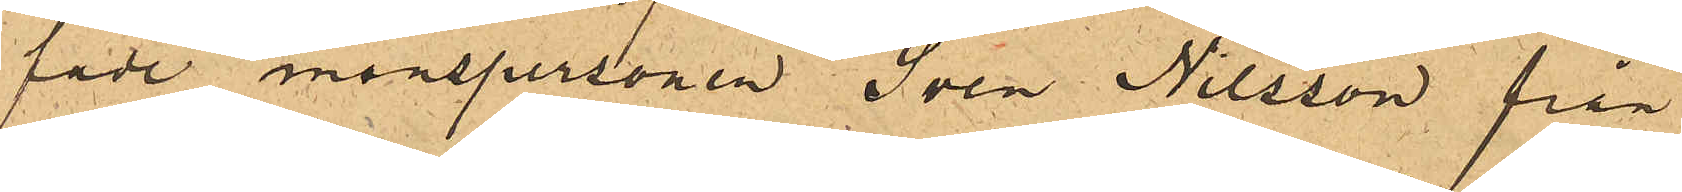fade manspersonen Sven Nilsson från
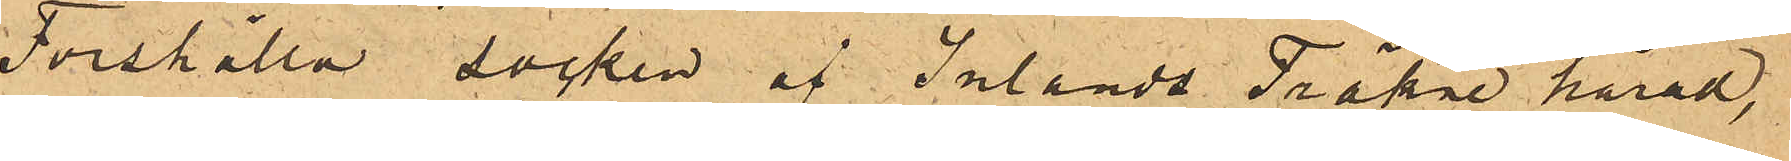Forshälla socken af Inlands Fräkne härad,
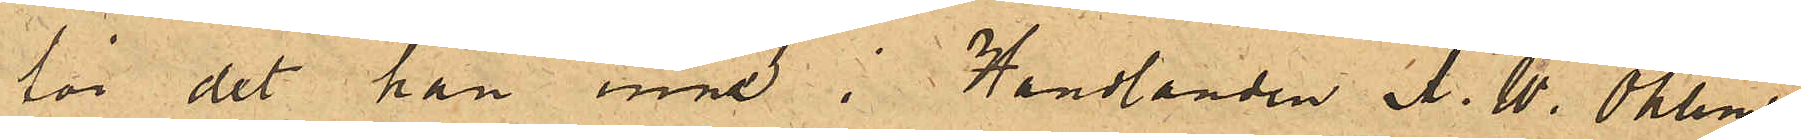för det han inne i Handlanden A. W. Ohlins
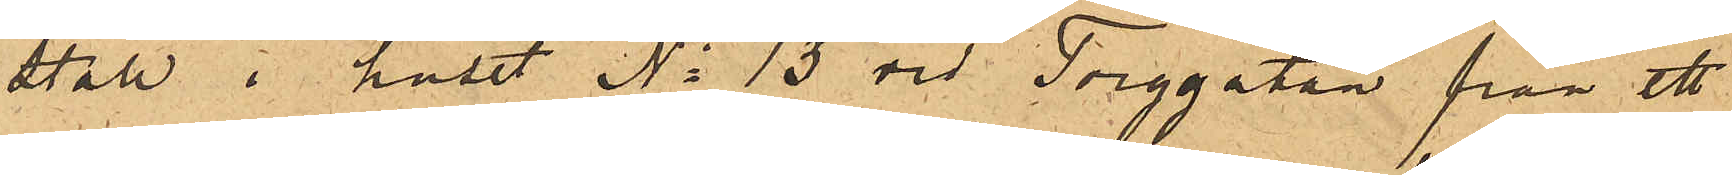stall i huset No 13 vid Torggatan från ett
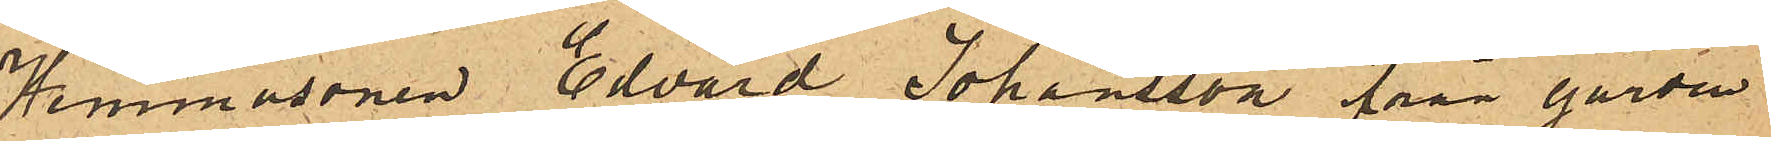Hemmasonen Edvard Johansson från gården
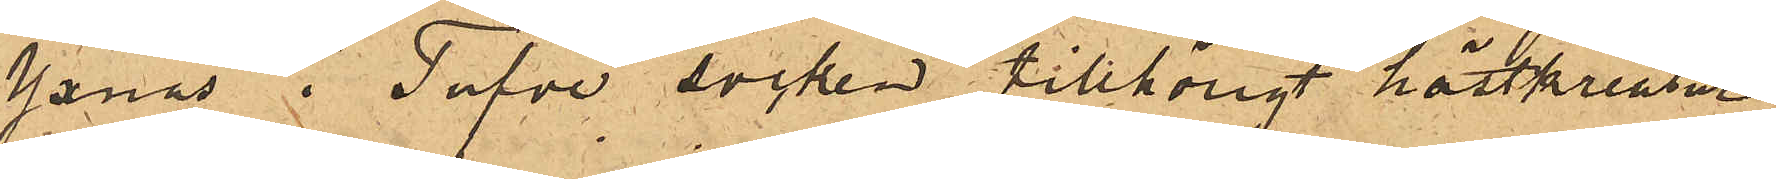Janås i Tufve socken tillhörigt hästkreatur
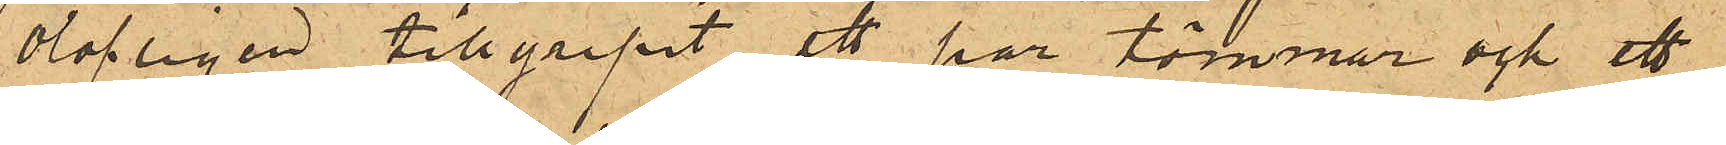olofligen tillgripit ett par tömmar och ett
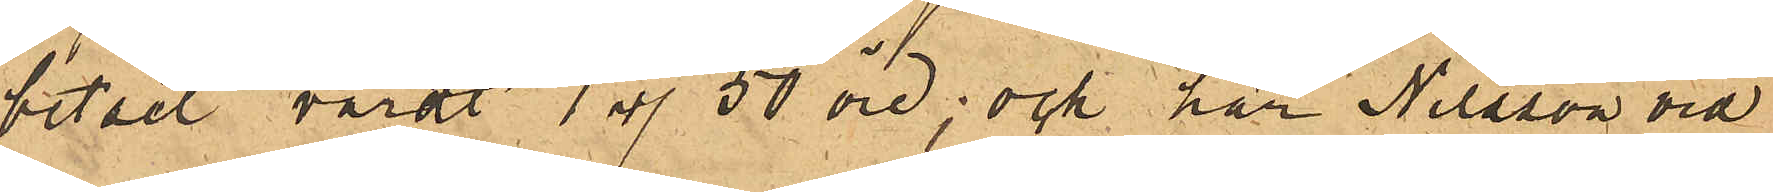betsel värdt 1 rdr 50 öre; och har Nilsson vid
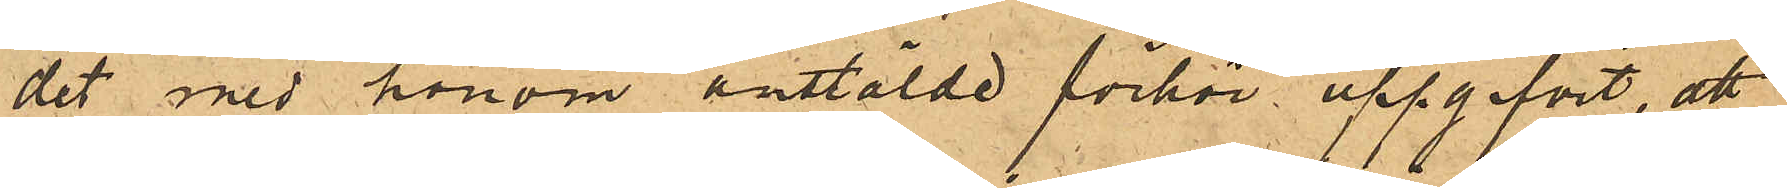det med honom anstälde förhör uppgifvit, att
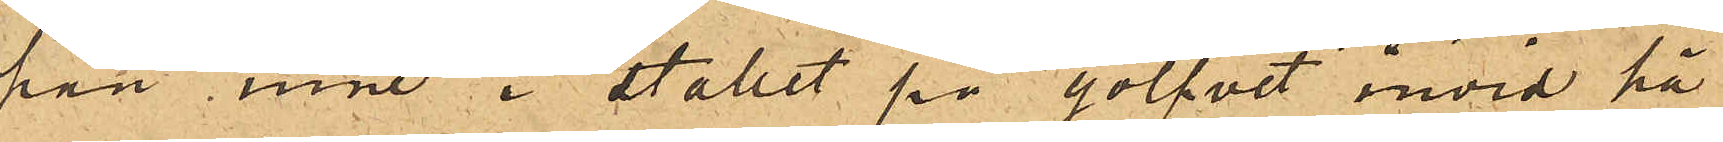han inne i stallet på golfvet invid hä¬
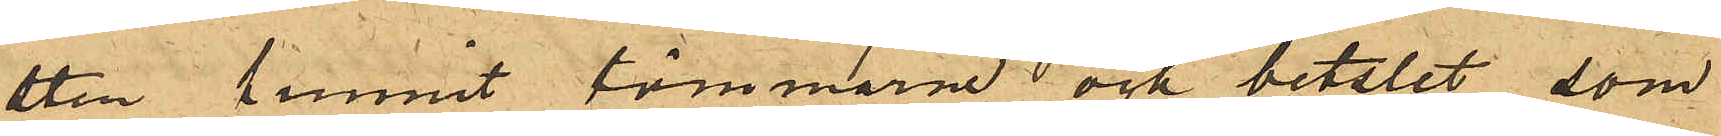sten funnit tömmarne och betslet, som
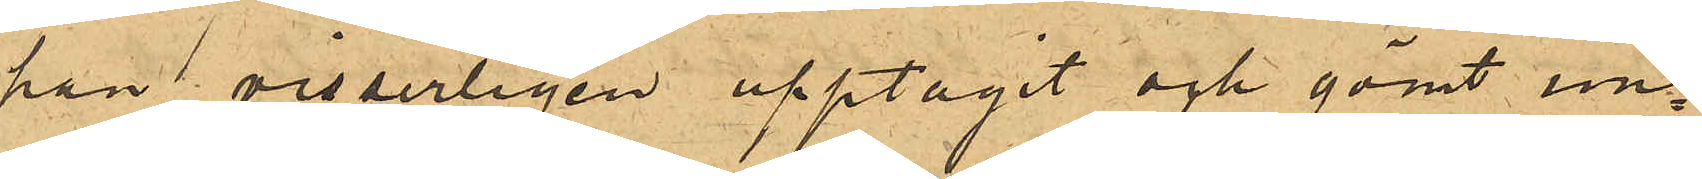han visserligen upptagit och gömt un¬
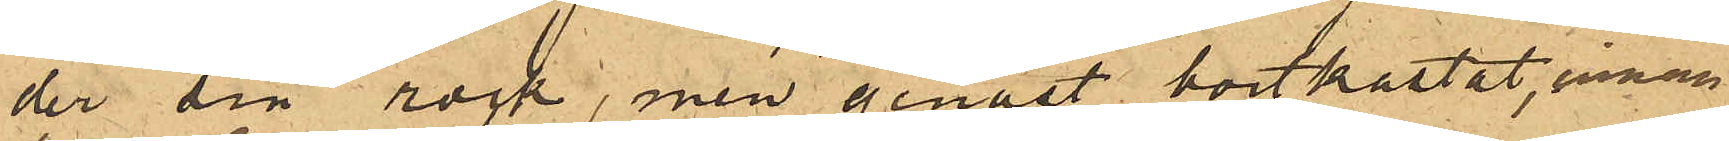der sin rock, men genast bortkastat, innan
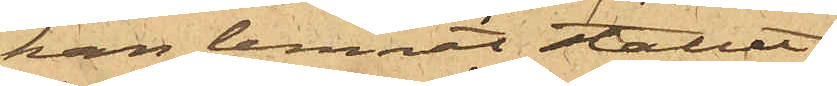han lemnat stallet.
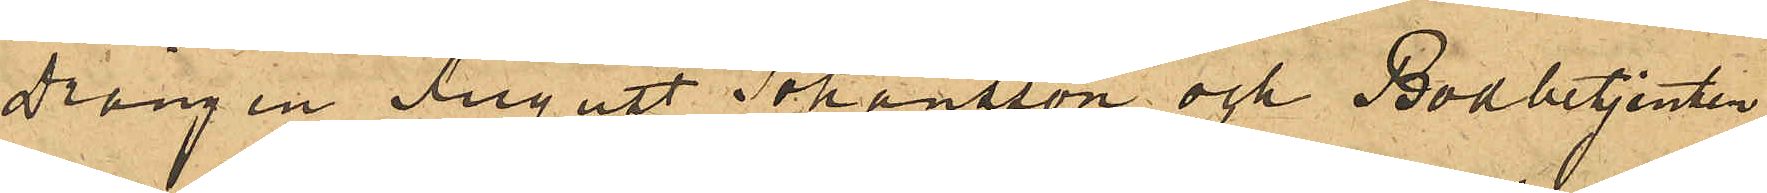Drängen August Johansson och Bodbetjenten
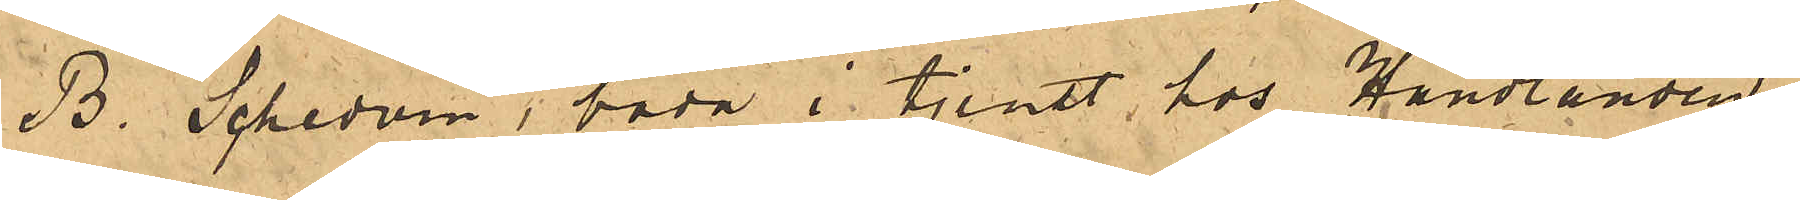B. Schedvin, båda i tjenst hos Handlanden
